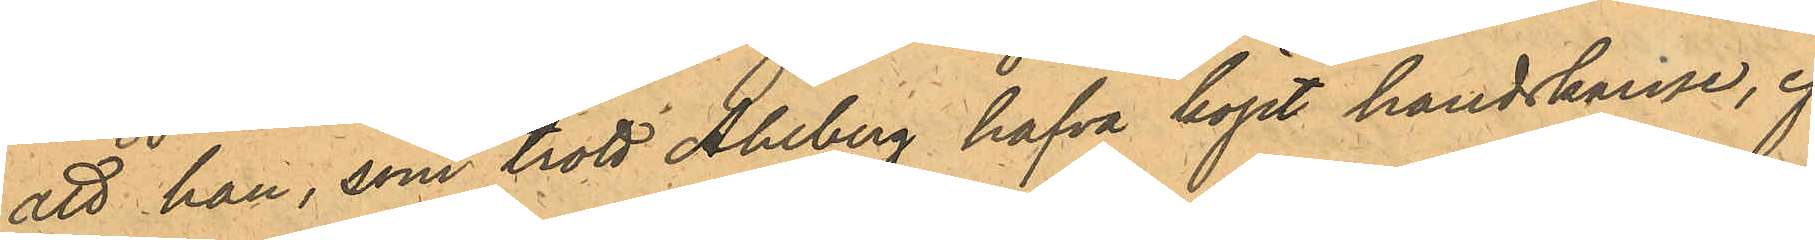att han, som trott Ahlberg hafva köpt handskarne, ej
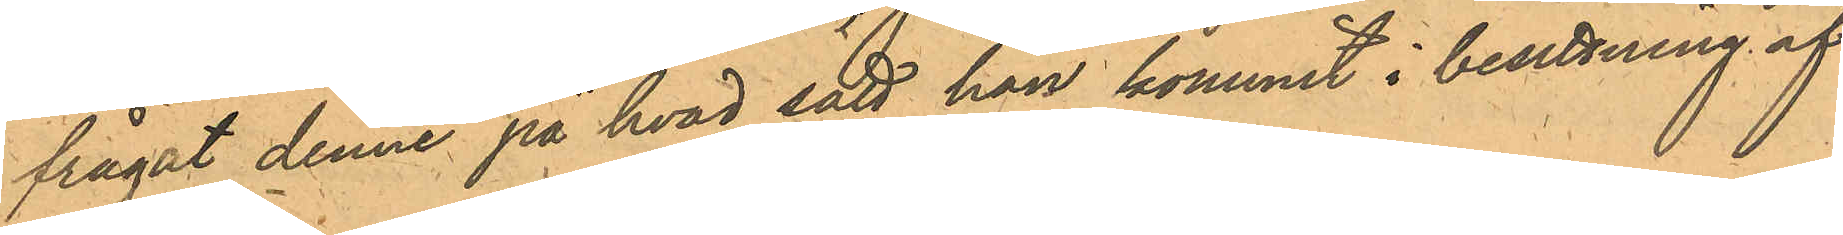frågat denne på hvad sätt han kommit i besittning af
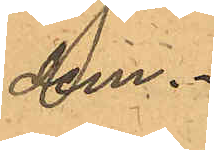dem.
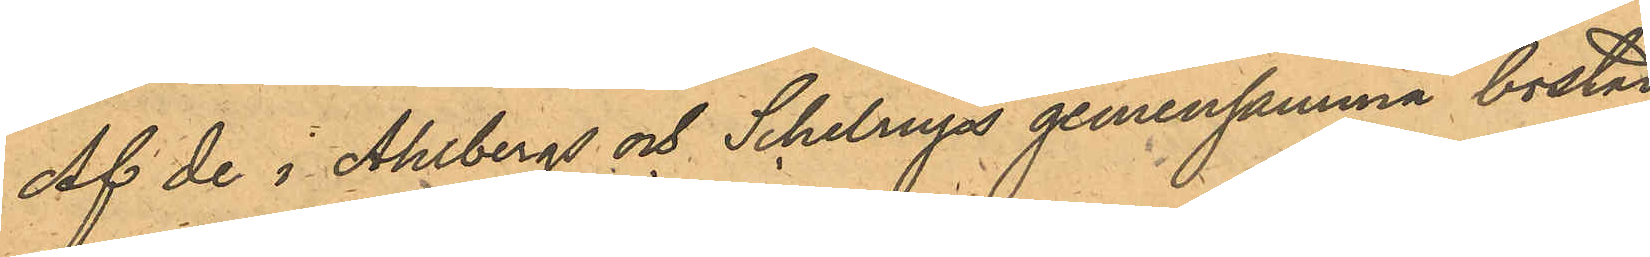Af de i Ahlbergs och Schelrups gemensamma bostad
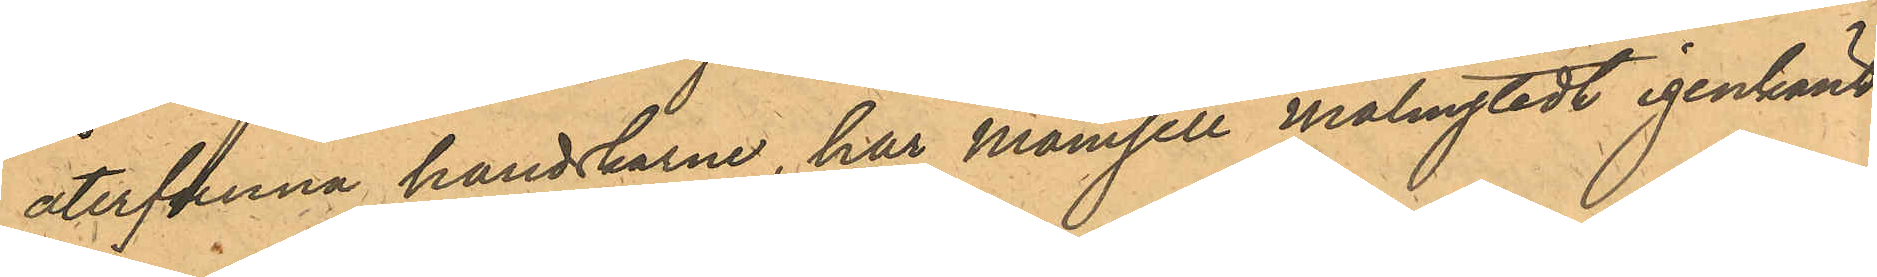återfunna handskarne, har Mamsell Malmstedt igenkänt
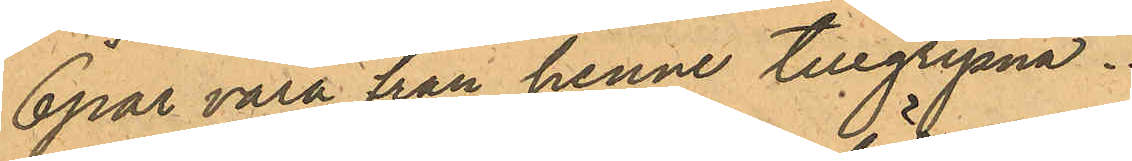6 par vara från henne tillgripna.
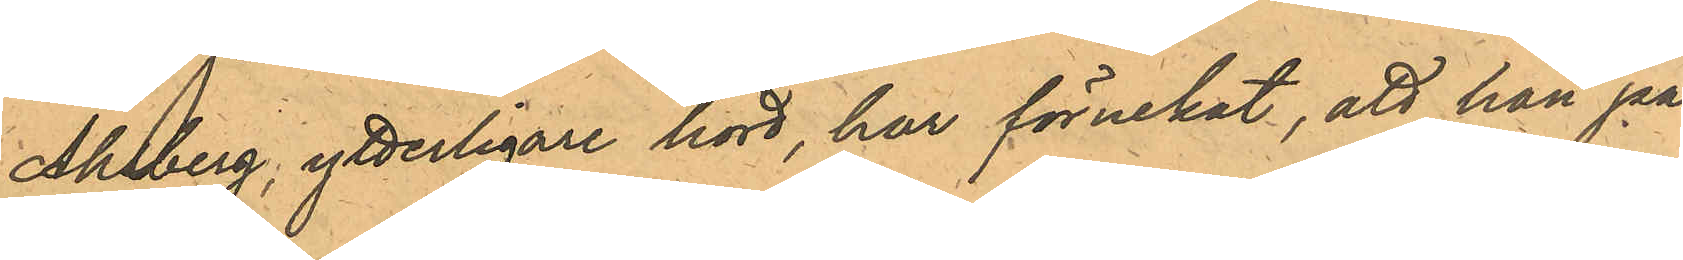Ahlberg, ytterligare hörd har förnekat, att han på
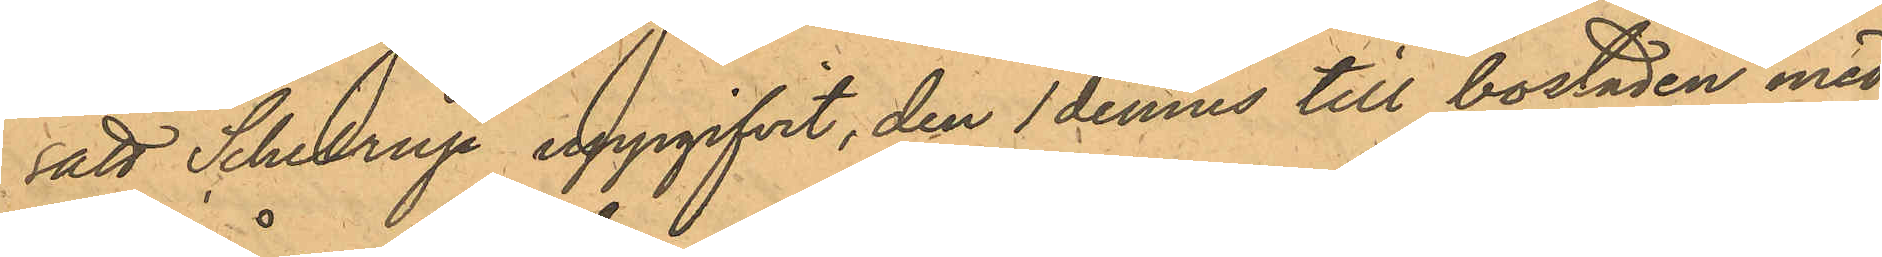sätt Schelrup uppgifvit, den 1 dennes till bostaden med¬
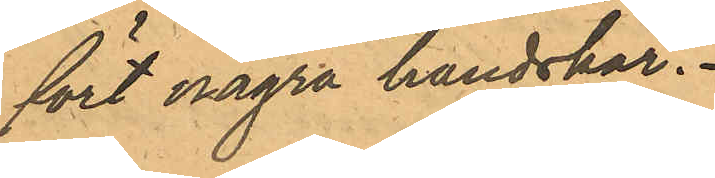fört några handskar.
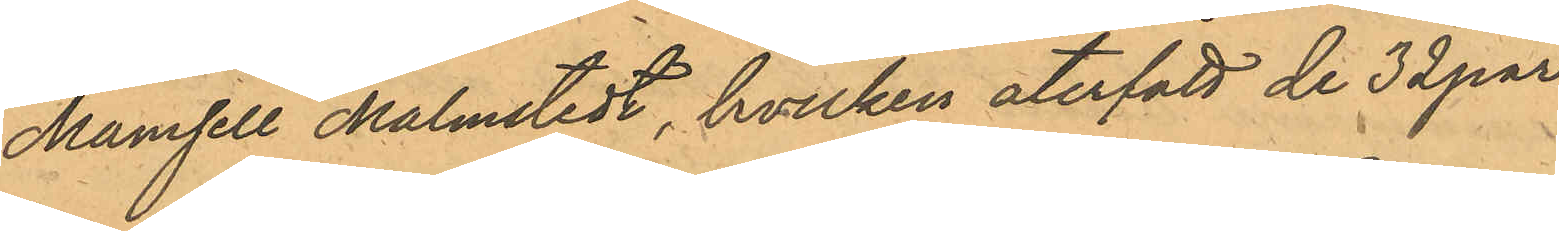Mamsell Malmstedt, hvilken återfått de 32 par
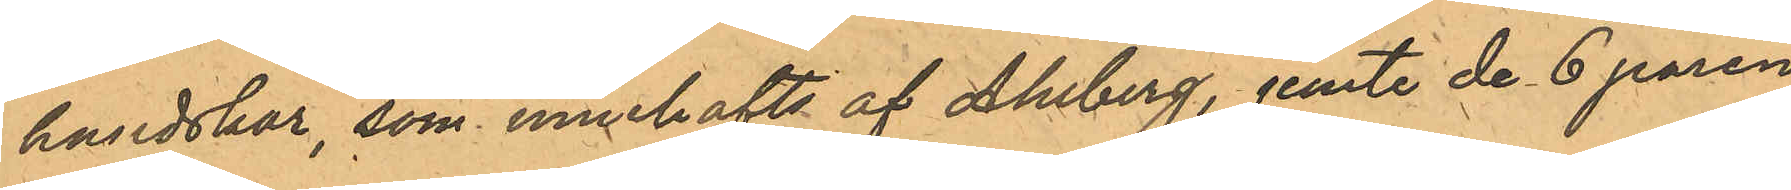handskar, som innehafts af Ahlberg, jemte de 6 paren
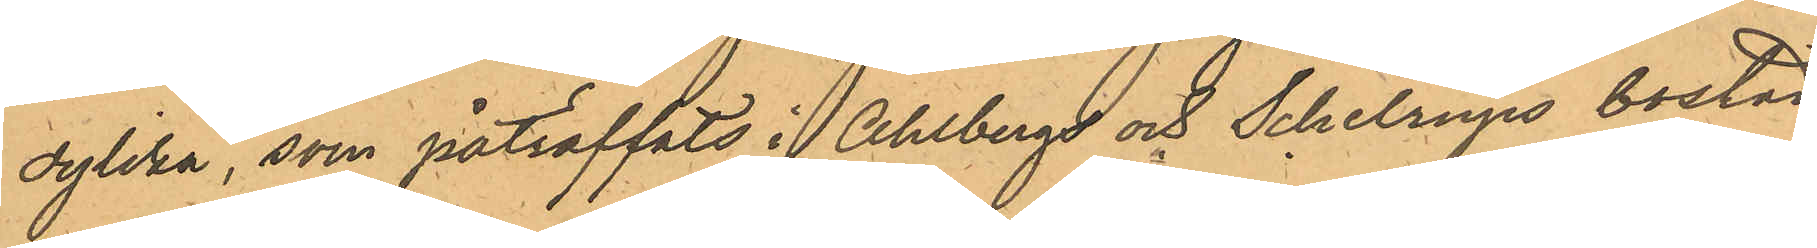dylika, som påträffats i Ahlbergs och Schelrups bostad,
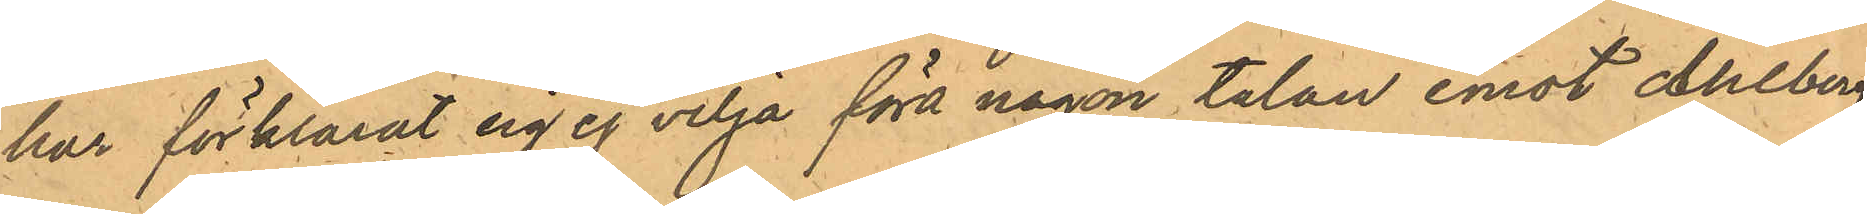har förklarat sig ej vilja föra någon talan emot Ahlberg,
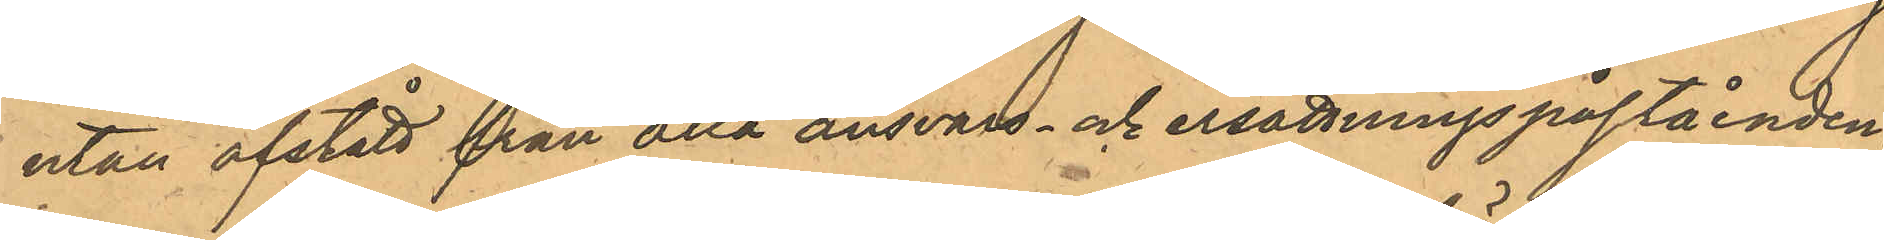utan afstått från alla ansvars- och ersättningspåståenden.
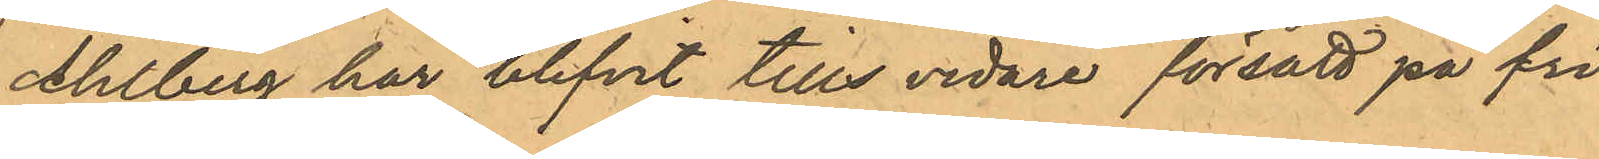Ahlberg har blifvit tills vidare försatt på fri
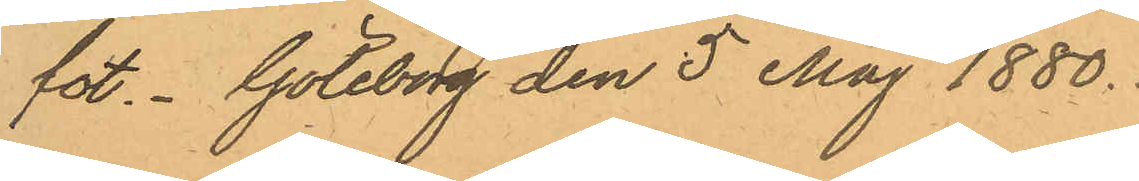fot. Göteborg den 5 Maj 1880.
